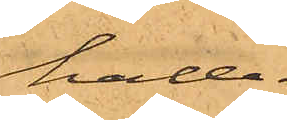hade.
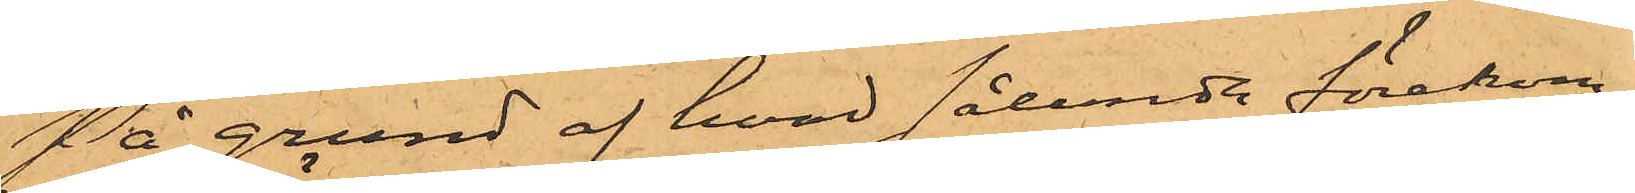På grund af hvad sålunda förekom¬
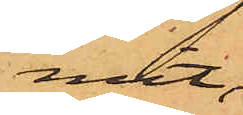mit,
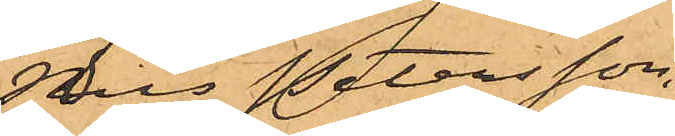Nils Petersson,
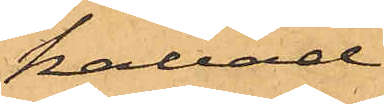kallad
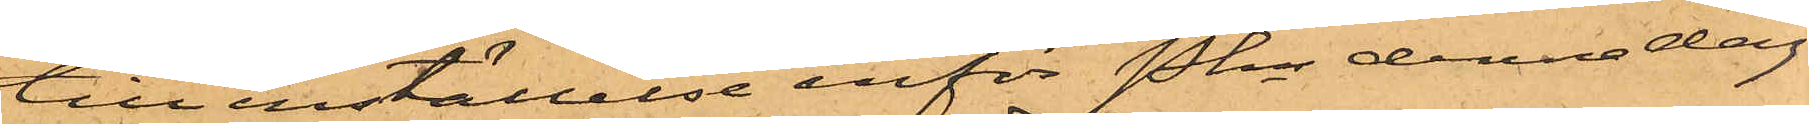till inställelse inför Pkn denna dag.
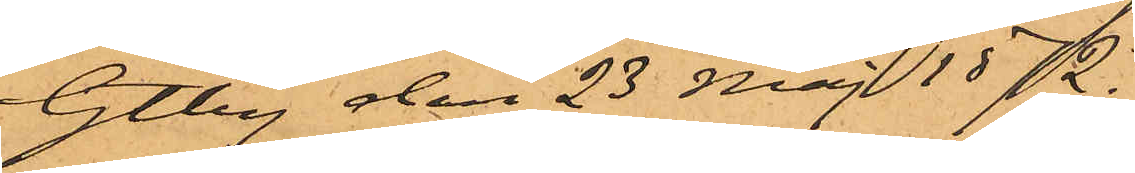Gtbg den 23 Maj 1872.
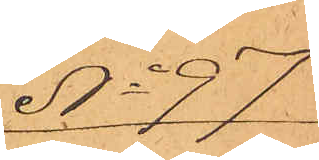No 97
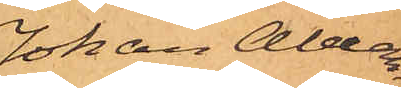Johan Alexan¬
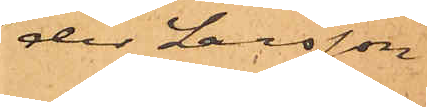der Larsson
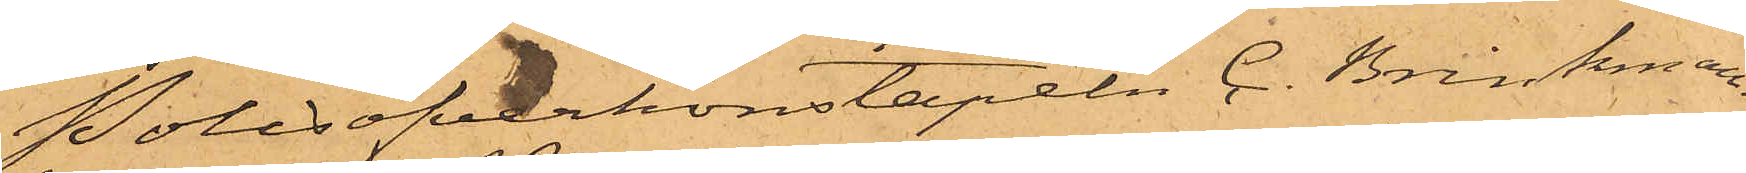Polisöfverkonstapeln C. Brinkman
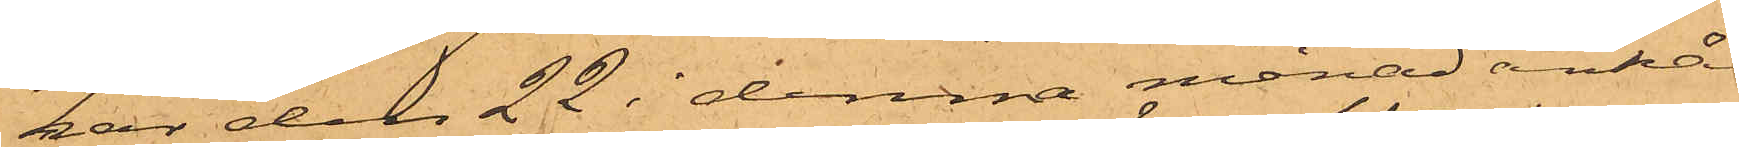har den 22 i denna månad anhål¬
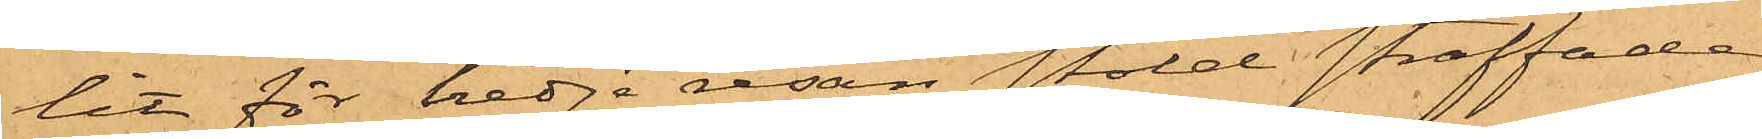lit för tredje resan stöld straffade
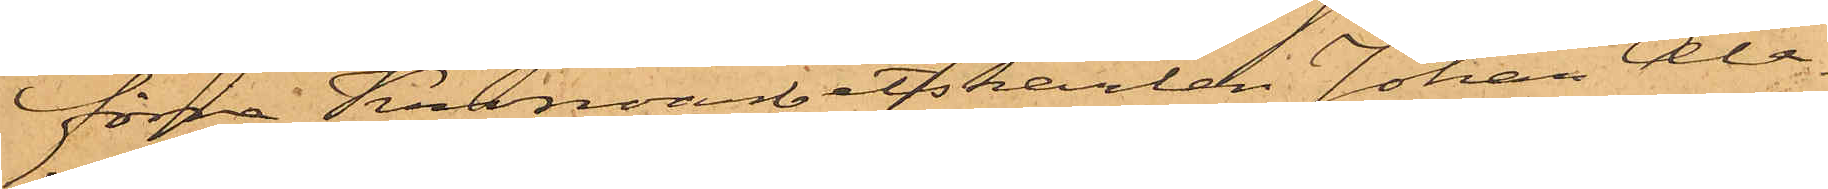förra Kronoarbetskarlen Johan Ale¬
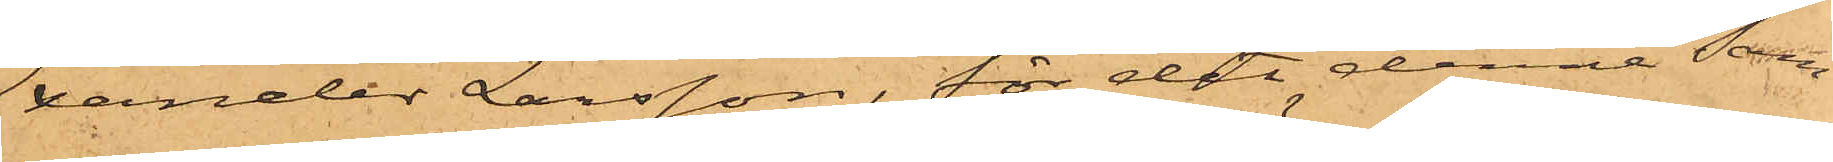xander Larsson, för det denne sam¬
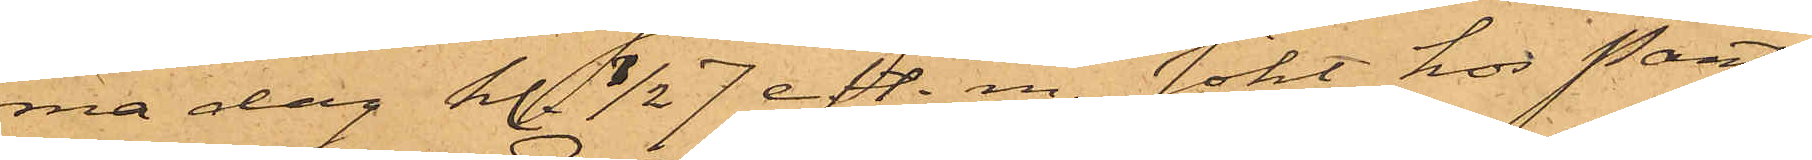ma dag kl. 1/2 7 eft. m. sökt hos Pant¬
